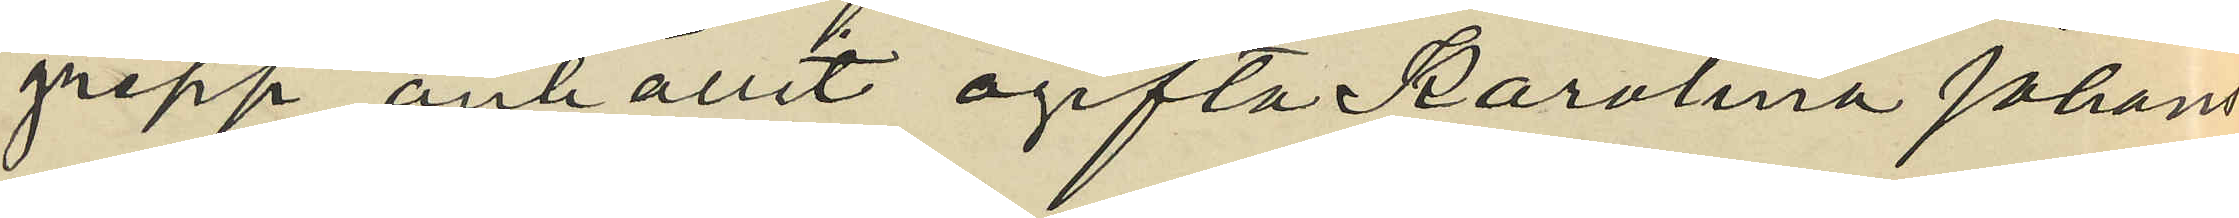grepp anhållit ogifta Karolina Johans¬
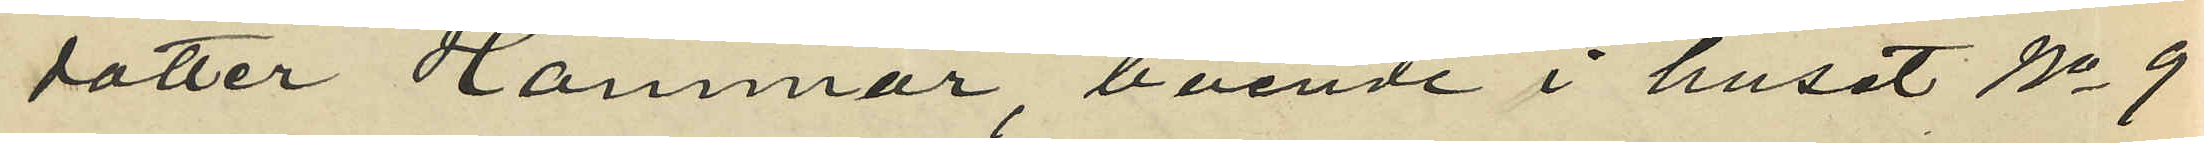dotter Hammar boende i huset No 9
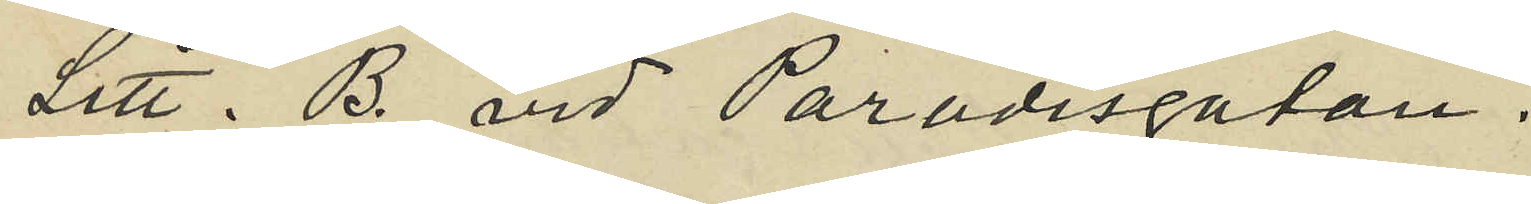Litt. B. vid Paradisgatan.
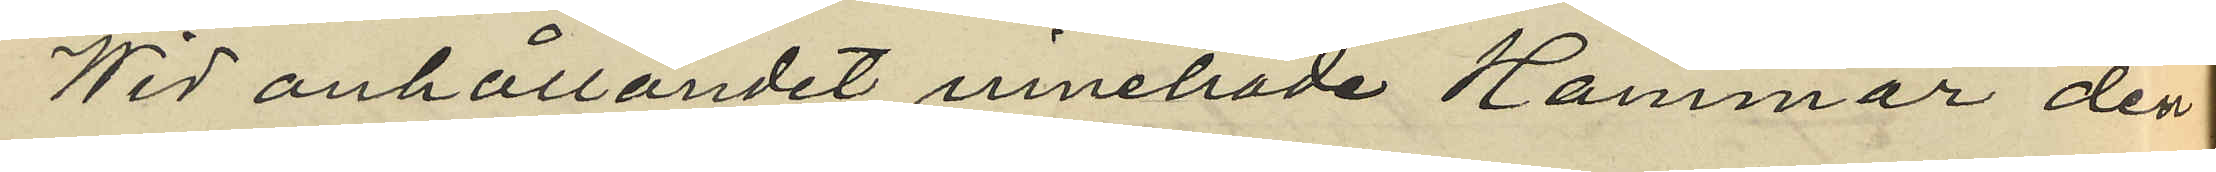Wid anhållandet innehade Hammar den
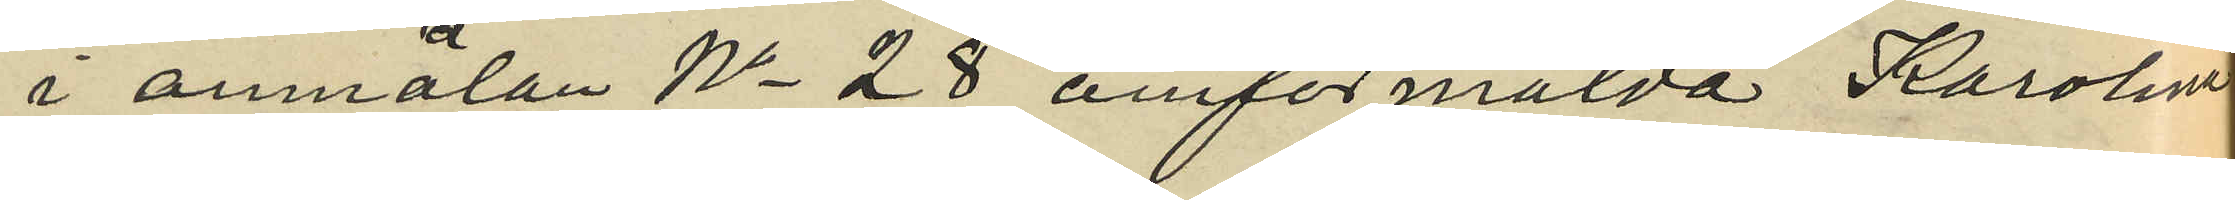i anmälan No 28 omförmälda Karolina
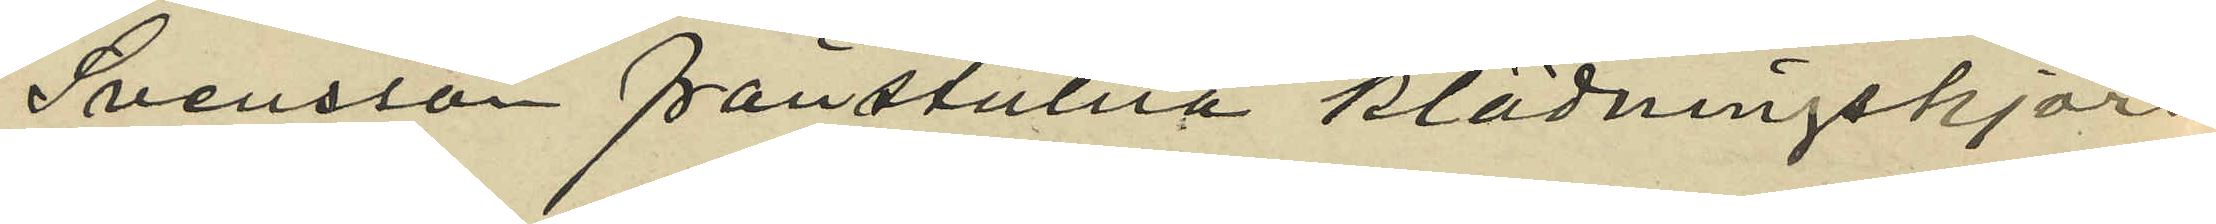Svensson frånstulna klädningskjorn¬
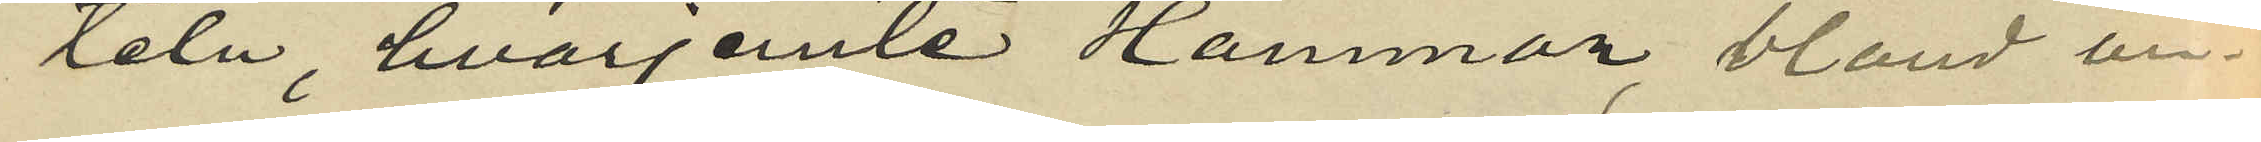teln, hvarjemte Hammar bland an¬
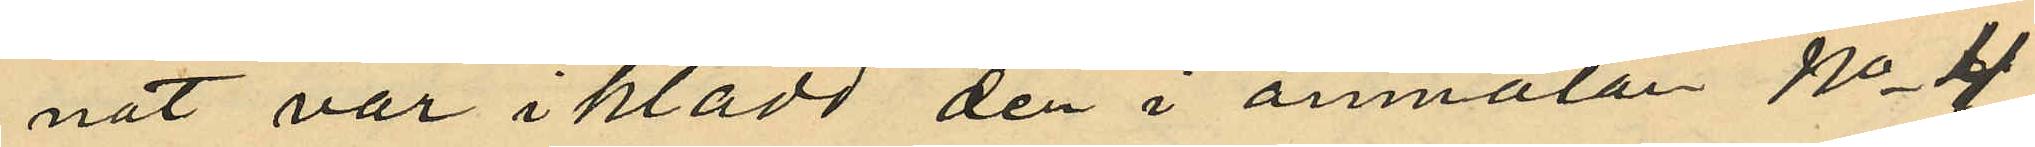nat var i klädd den i anmälan No 4
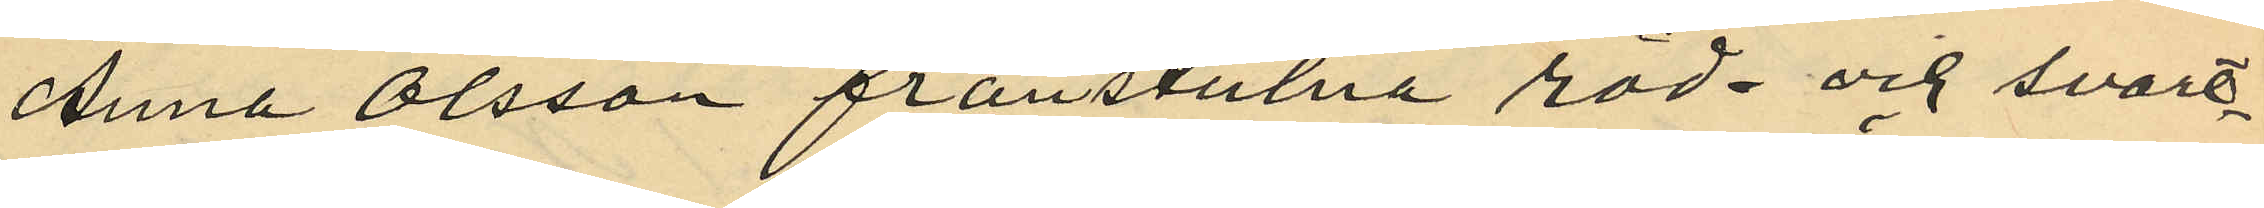Anna Olsson frånstulna röd och svart
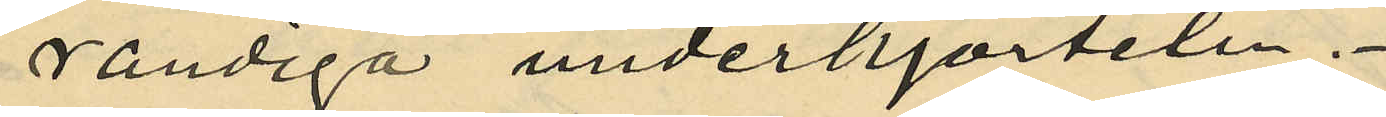randiga underkjorteln.
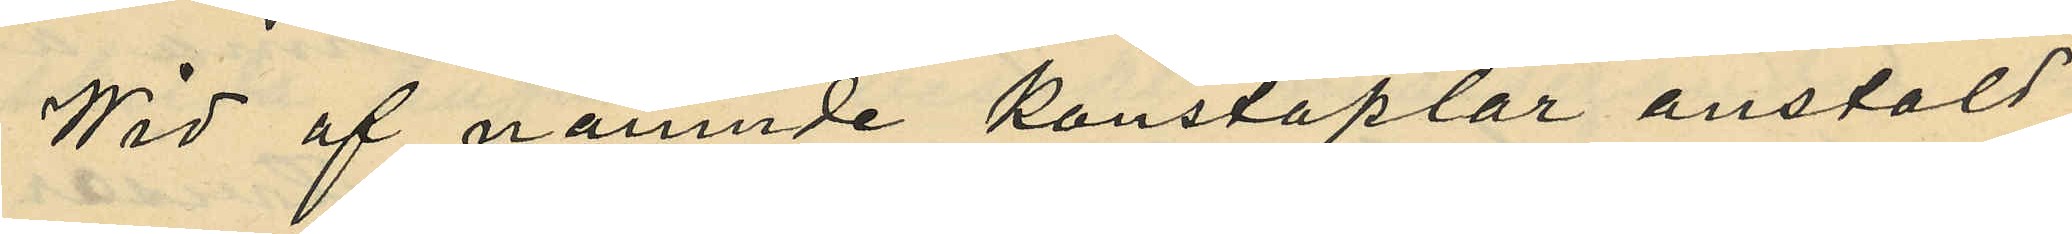Wid af nämnde konstaplar anstäld
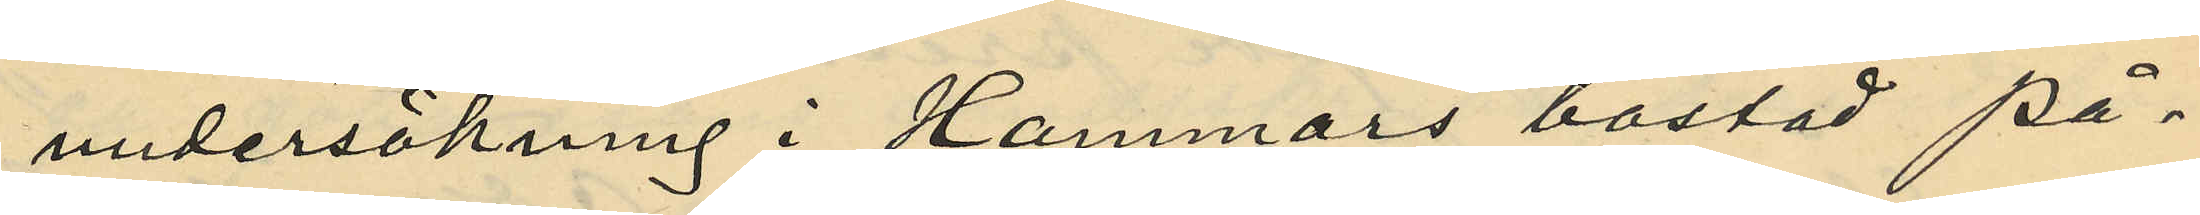undersökning i Hammars bostad på
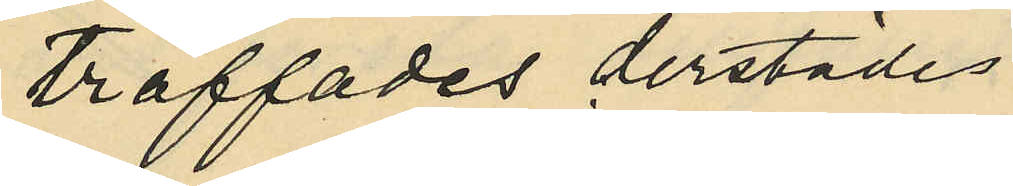träffades derstädes
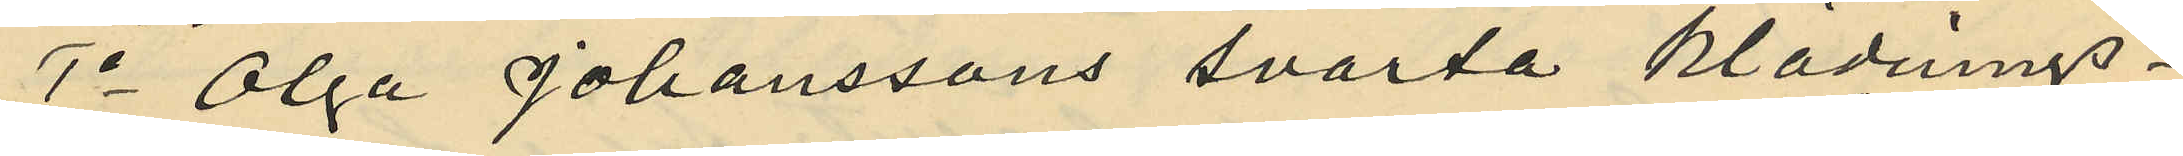1o Olga Johanssons svarta klädnings¬
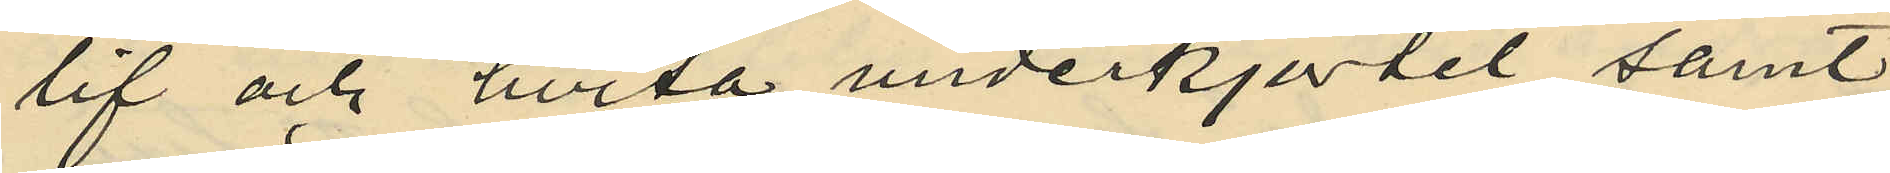lif och hvita underkjortet samt
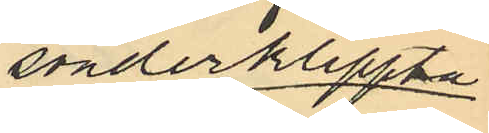sönderklippta
